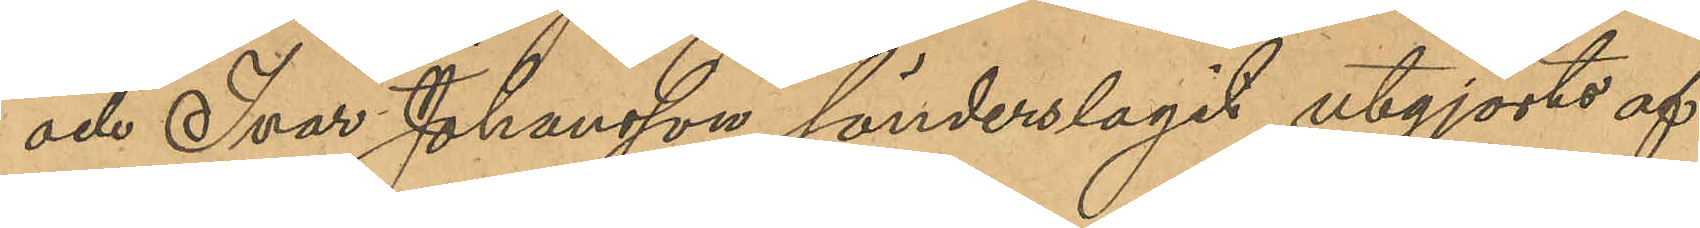och Ivar Johansson sönderslagit utgjorts af
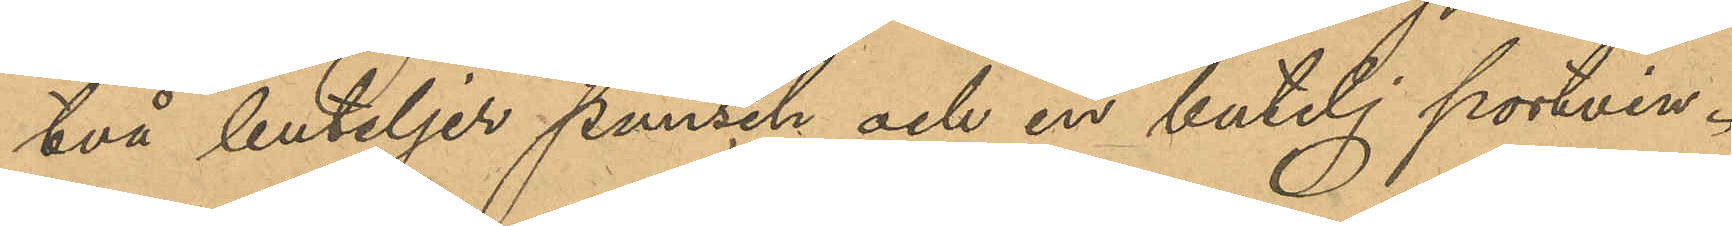två buteljer punsch och en butelj portvin.
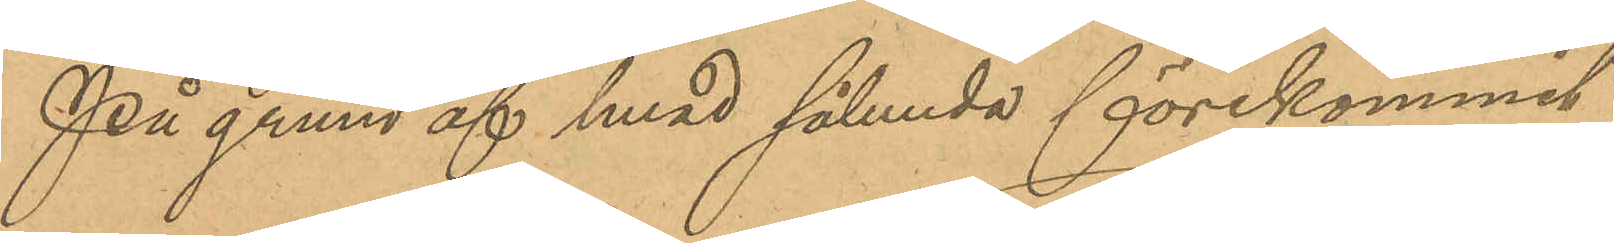På grund af hvad sålunda förekommit
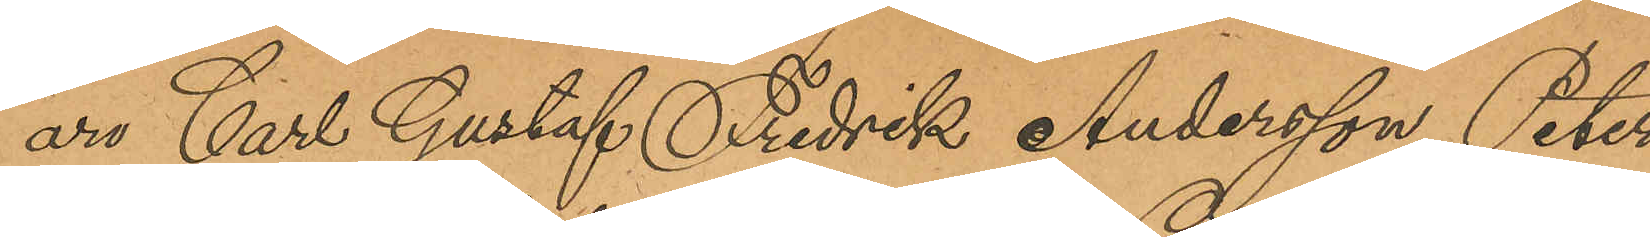äro Carl Gustaf Fredrik Andersson, Peter
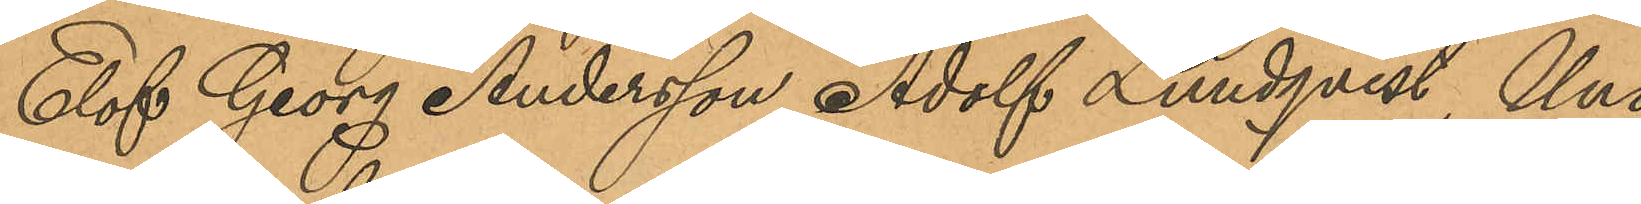Elof Georg Andersson, Adolf Lundqvist, Uno
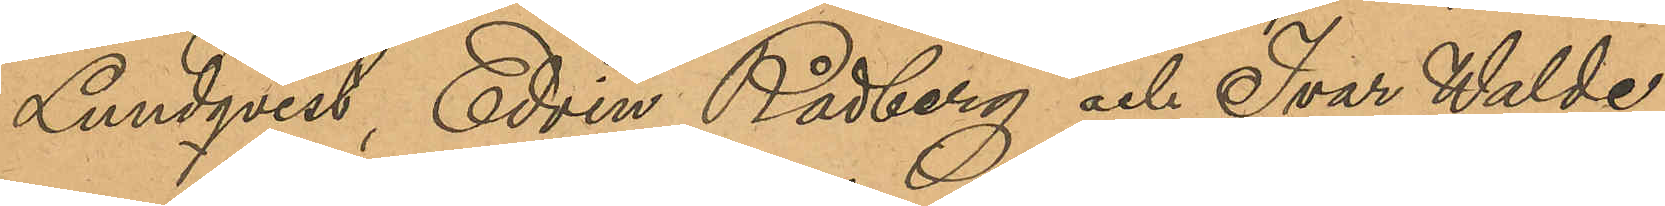Lundqvist, Edvin Rådberg och Ivar Walde¬
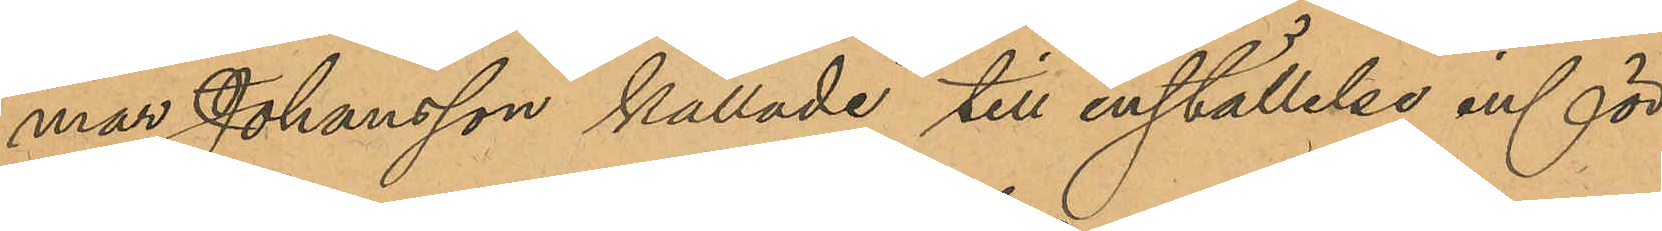mar Johansson kallade till inställelse inför
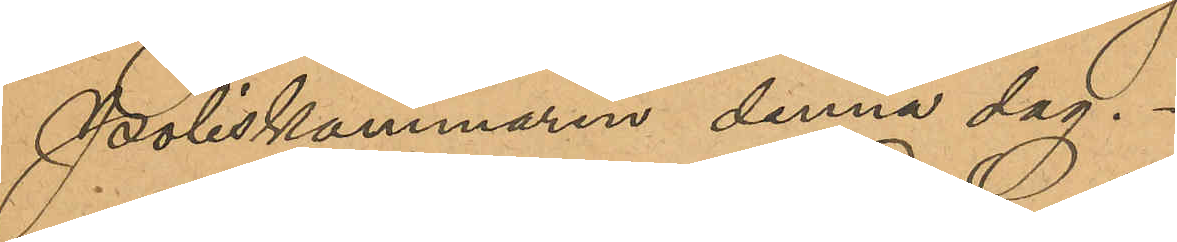Poliskammaren denna dag.
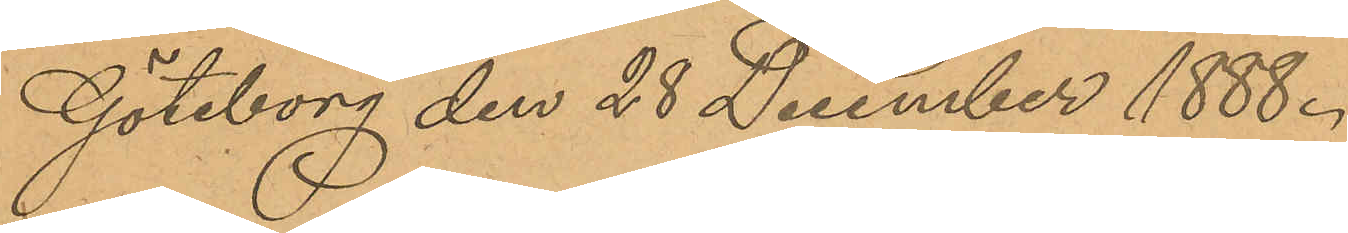Göteborg den 28 December 1888.
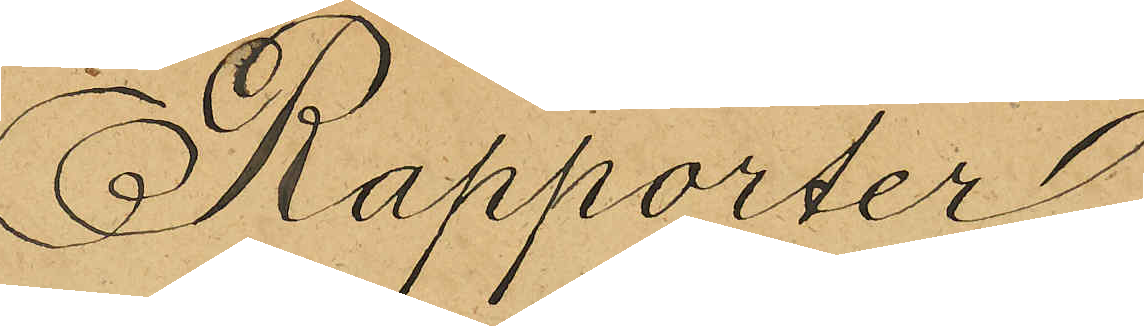Rapporter
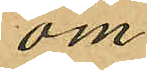om
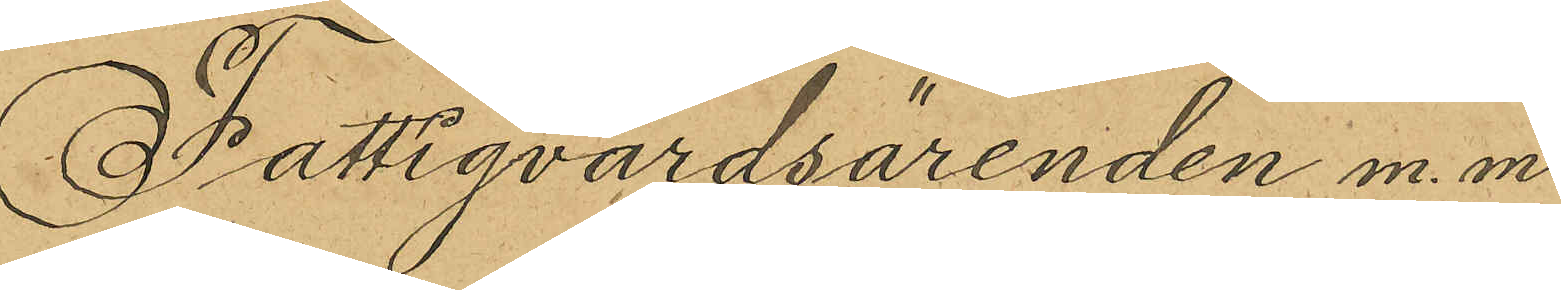Fattigvårdsärenden m. m.
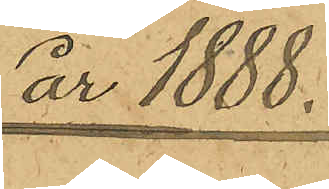år 1888.
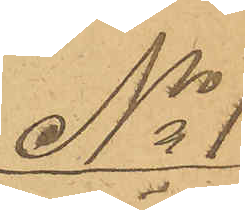No 1
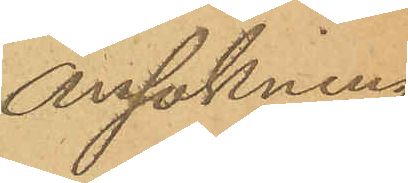Ansökning
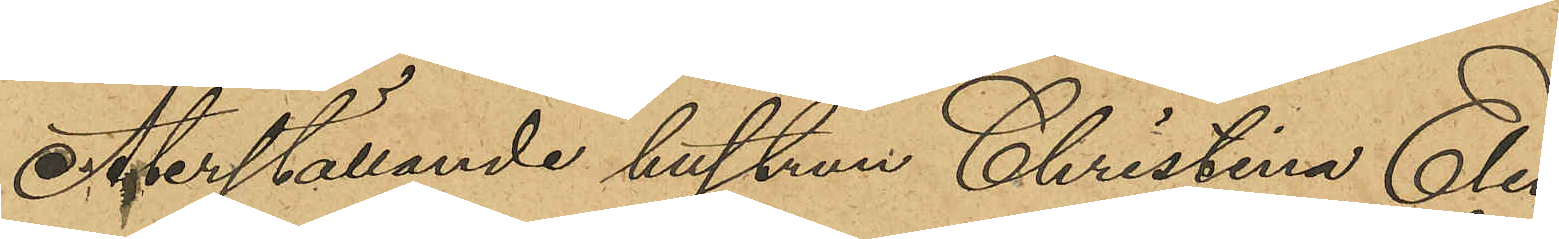Återställande hustrun Christina Elio¬
